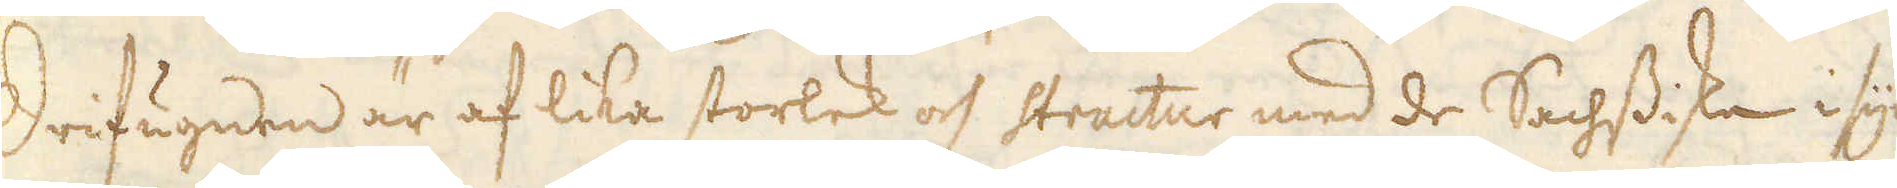Drifugnen är af lika storlek och structur med de Sachssiska i syn-
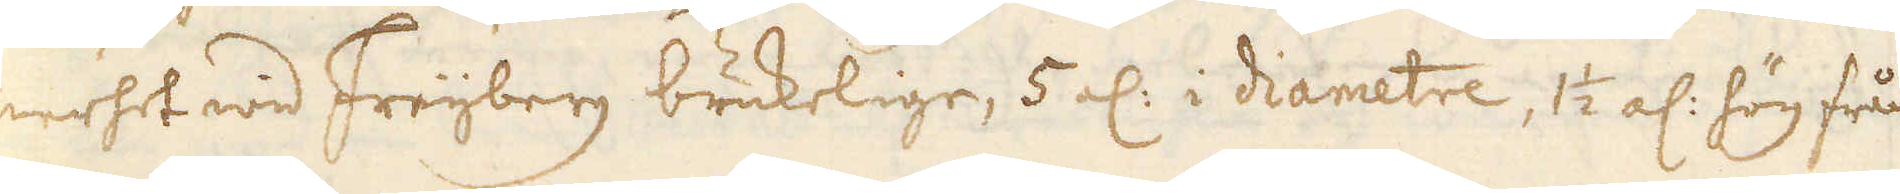nerhet wid Freijberg brukelige, 5 el: i diametre, 1 1/2 al: hög från
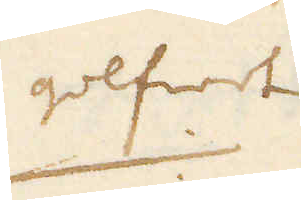golfwet
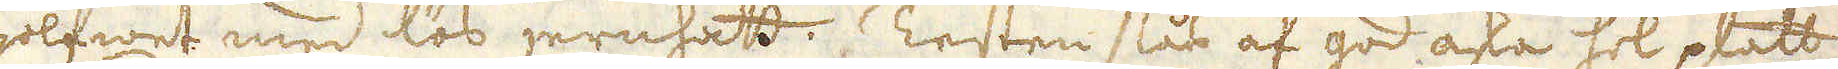golfwet med lös jernhatt. Testen slås af god aska hel platt 
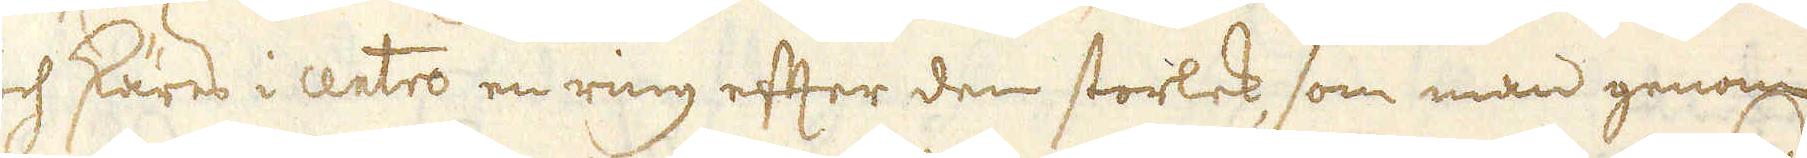och skäres i centro en ring efter den storlek, som man genom
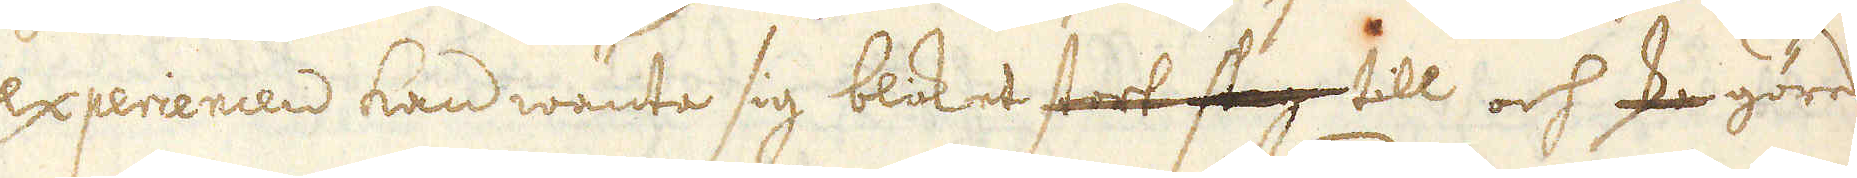experiencen kan wänte sig blocket stort slag till och ska göres
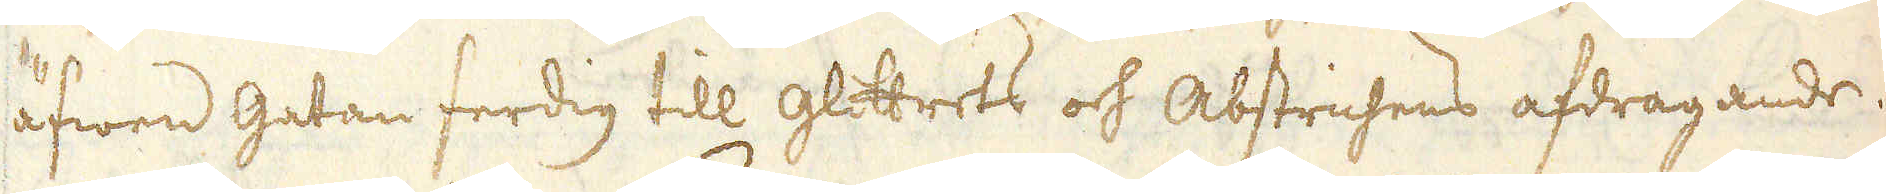äfwen gatan ferdig till glittrets och Abstrichens afdragande.
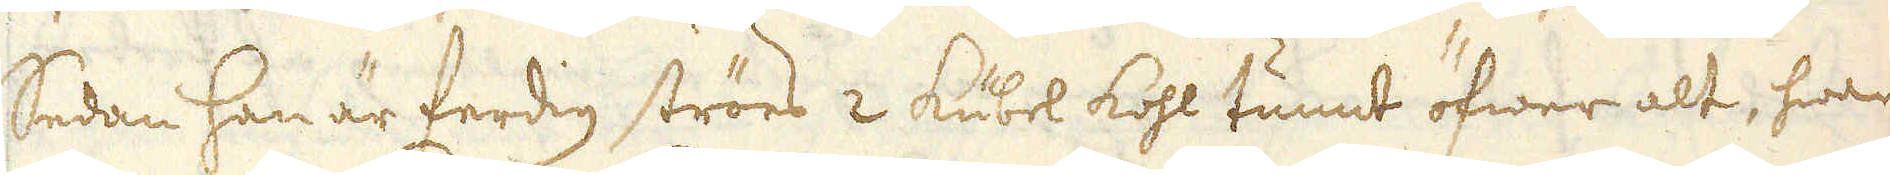Sedan han är ferdig ströes 2 kubel kohl tunnt öfwer alt, hwar
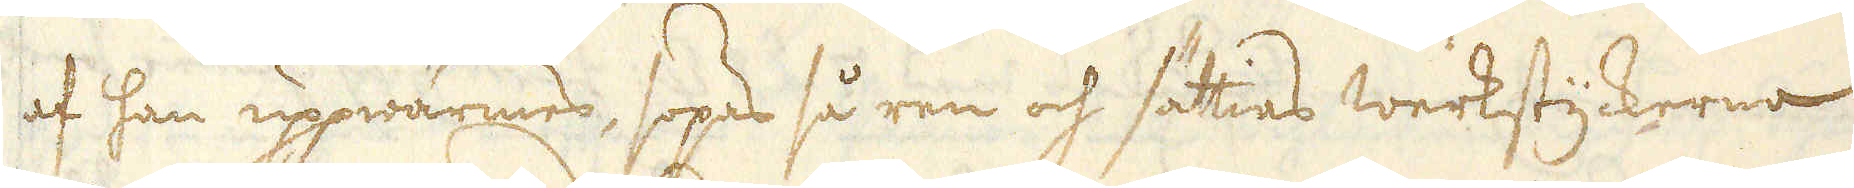af han uppwärmes, sopas så ren och sättias werkstyckerna
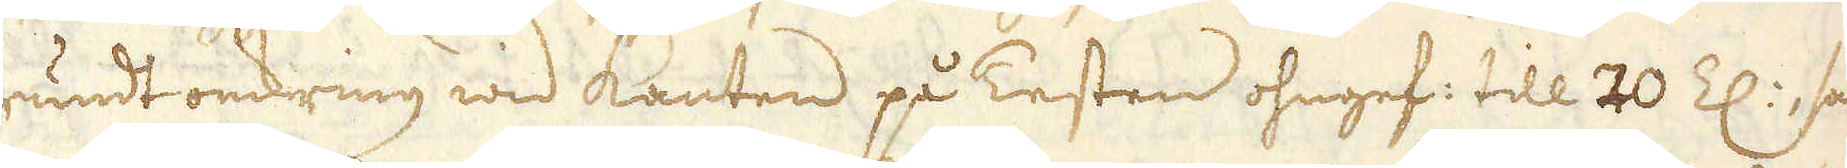rundt omkring wid kanten på Testen ohngef: till 20 Z:, ssom
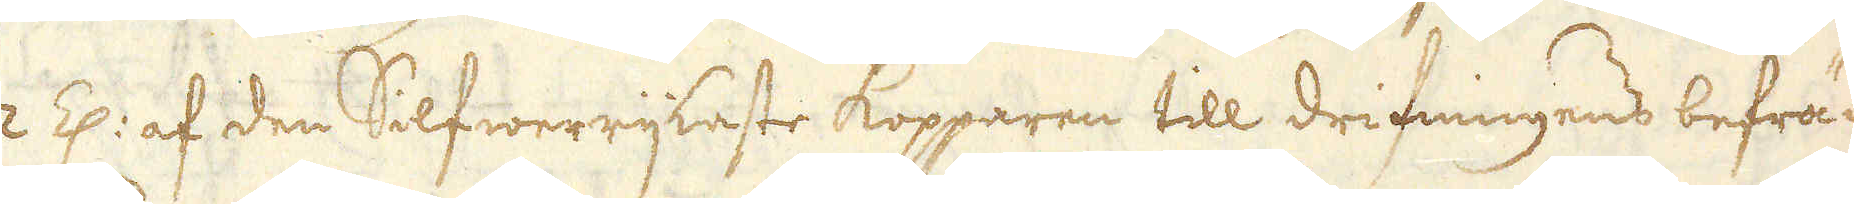2 Z: af den Silfwerrijkaste Kopparen till drifningens befräm-
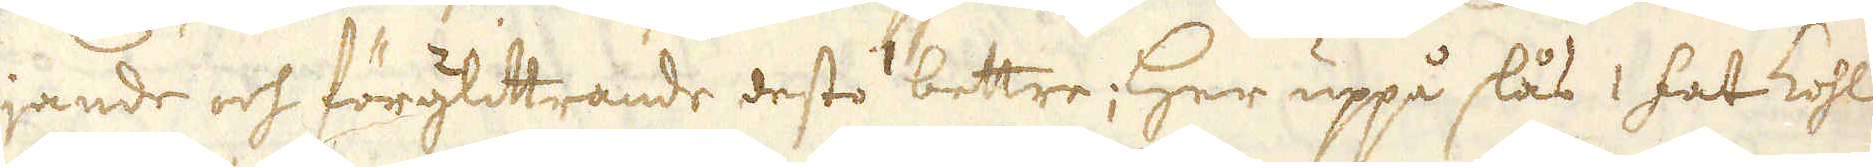jande och förglittrande desto bettre; Her uppå slås 1 fat kohl
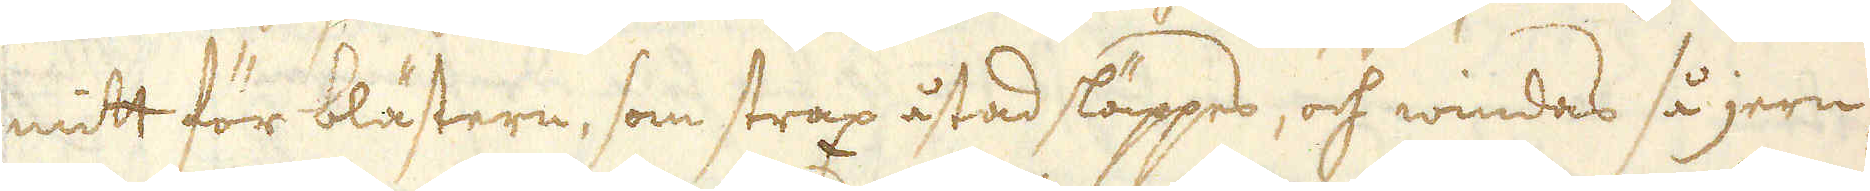mitt för blästern, som strax åstad släppes, och windas så jern-
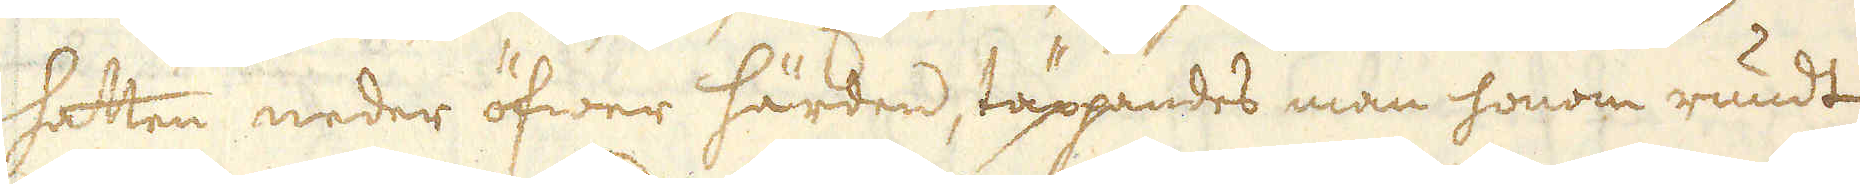hatten neder öfwer härden, täppandes man honom rundt
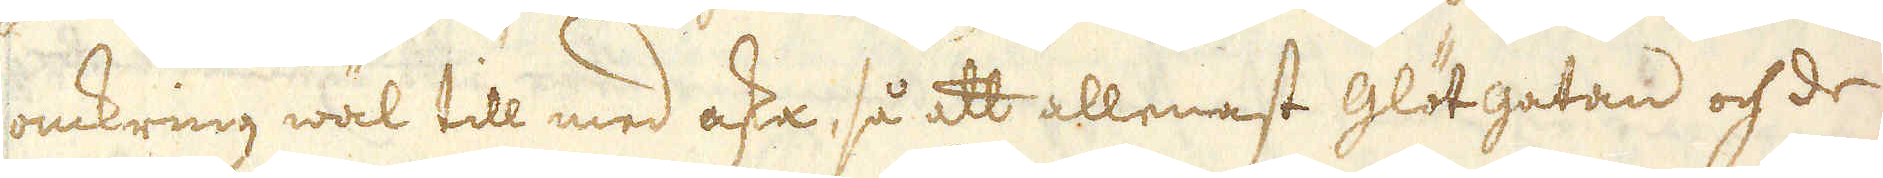omkring wäl till med aska, så att allenast glötgatan och de
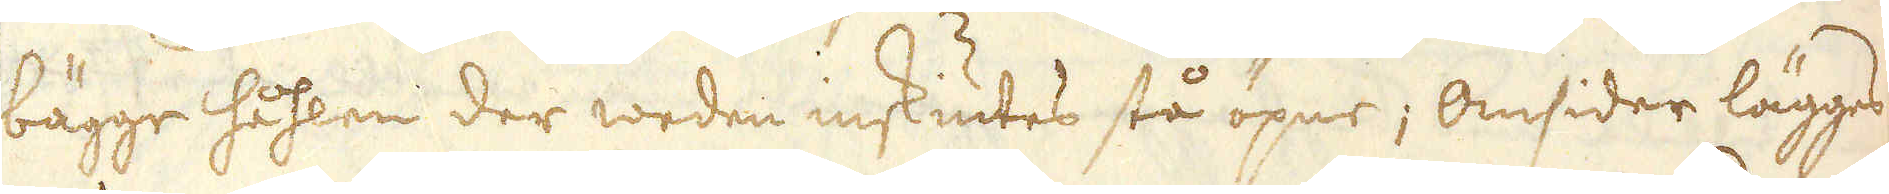bägge håhlen der weden inskiutes stå öpne; Omsider lägges
